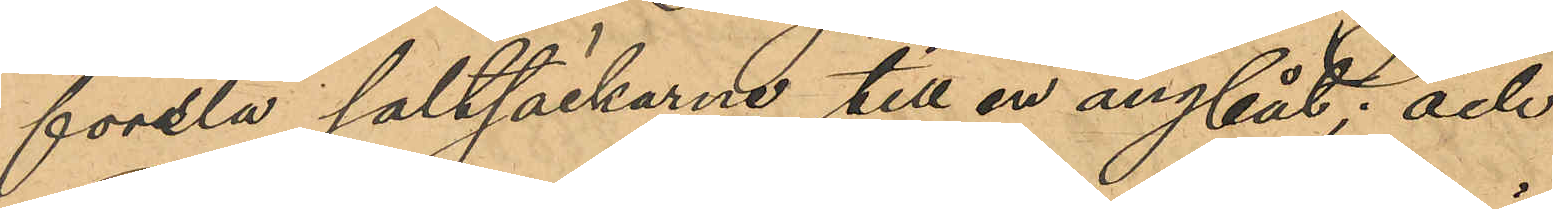forsla saltsäckarne till en ångbåt; och
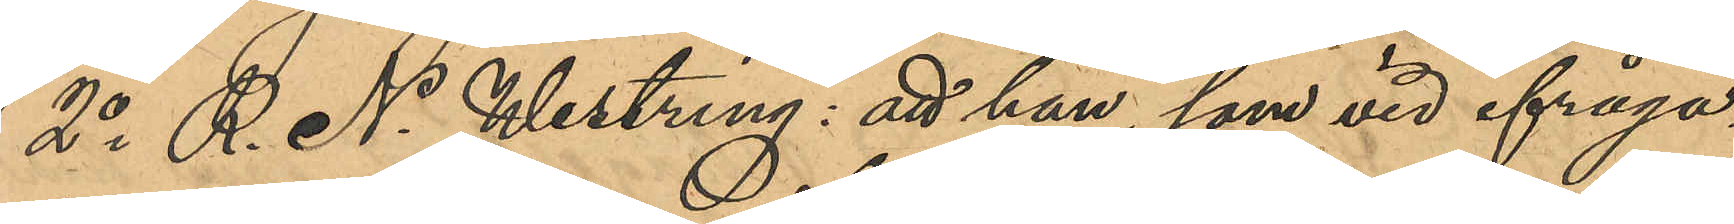2o R. N. Westring: att han, som vid ifråga¬
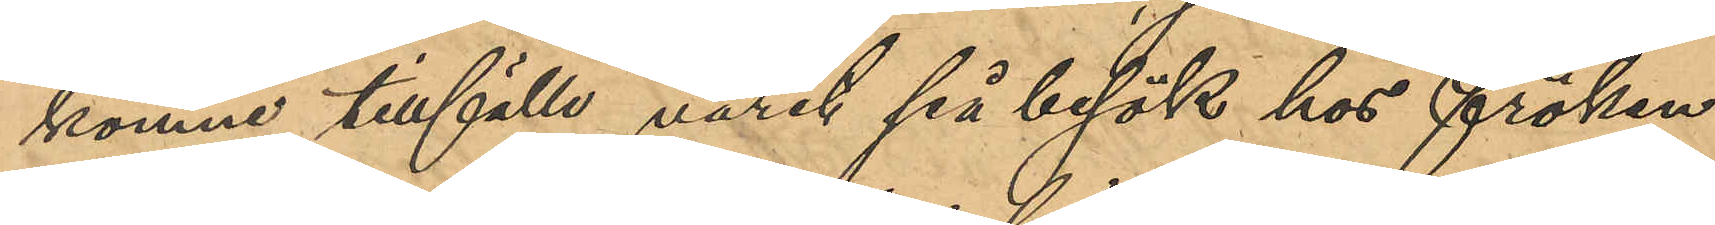komne tillfälle varit på besök hos fröken
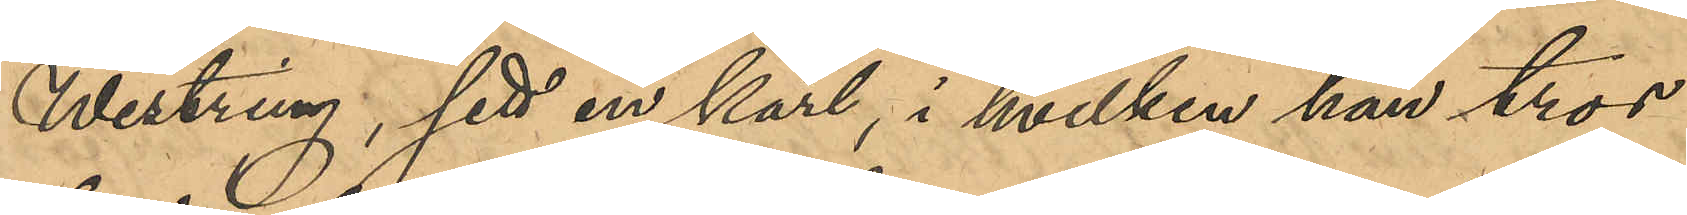Westring, sett en karl, i hvilken han tror
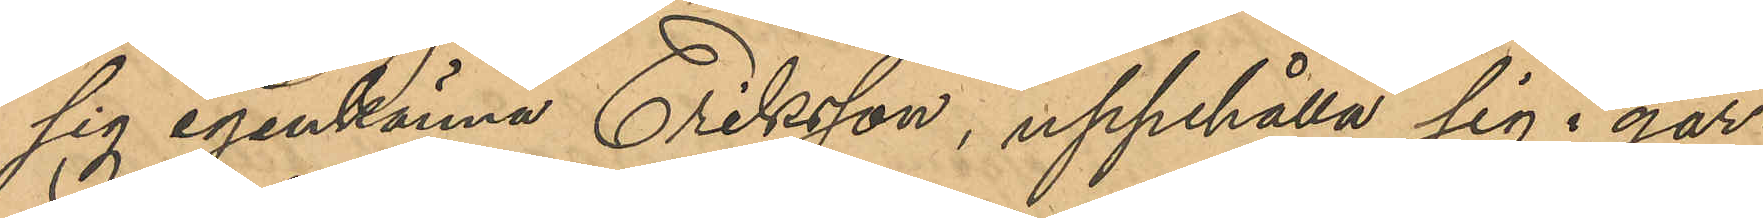sig igenkänna Eriksson, uppehålla sig i går¬
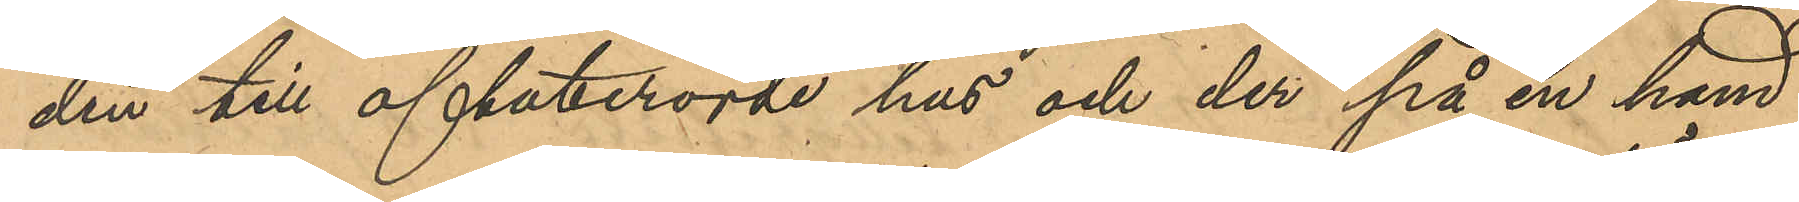den till oftaberörde hus och der på en hand¬
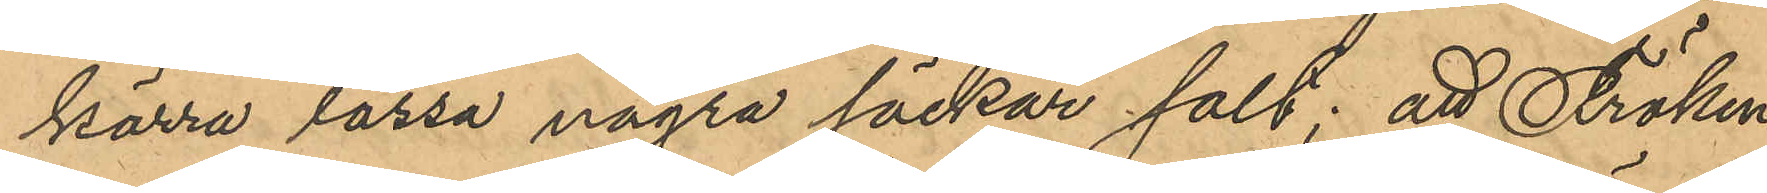kärra lassa några säckar salt; att Fröken
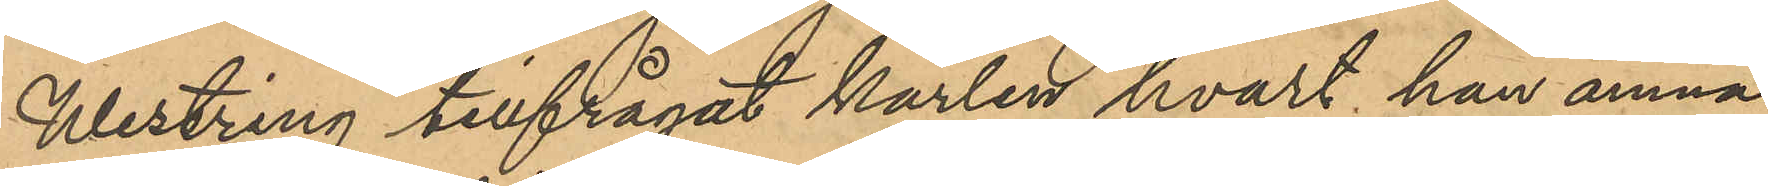Westring tillfrågat karlen hvart han ämna¬
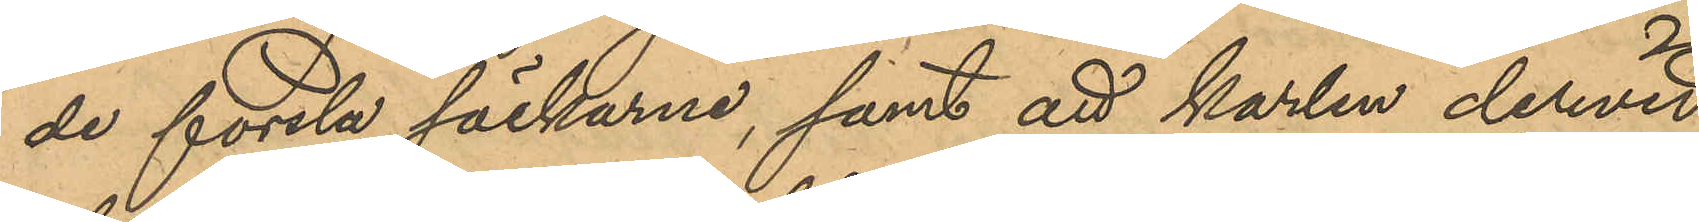de forsla säckarna, samt att karlen dervid
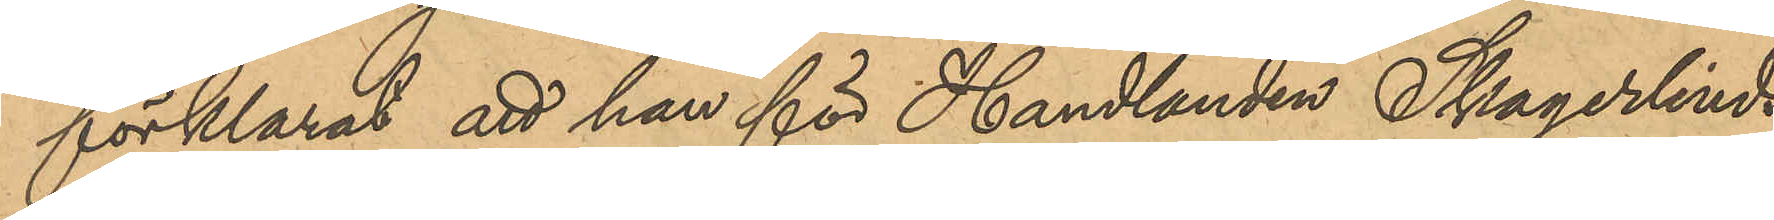förklarat att han för Handlanden Skagerlinds
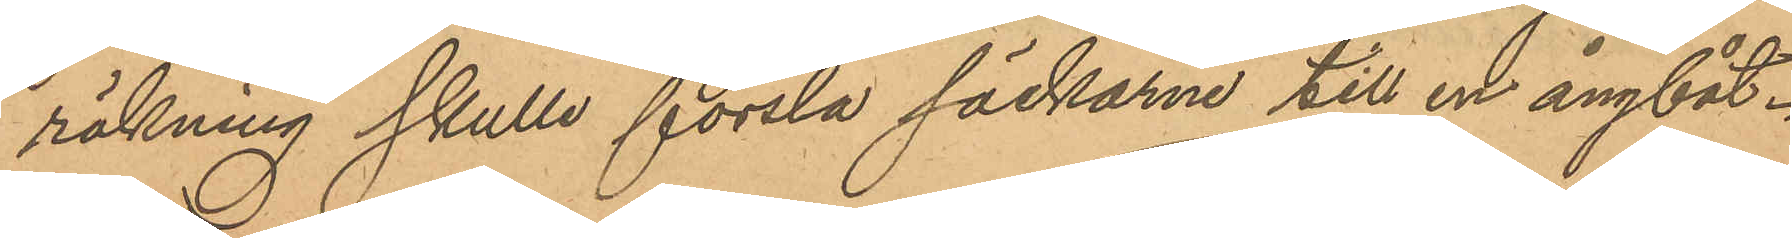räkning skulle forsla säckarna till en ångbåt.
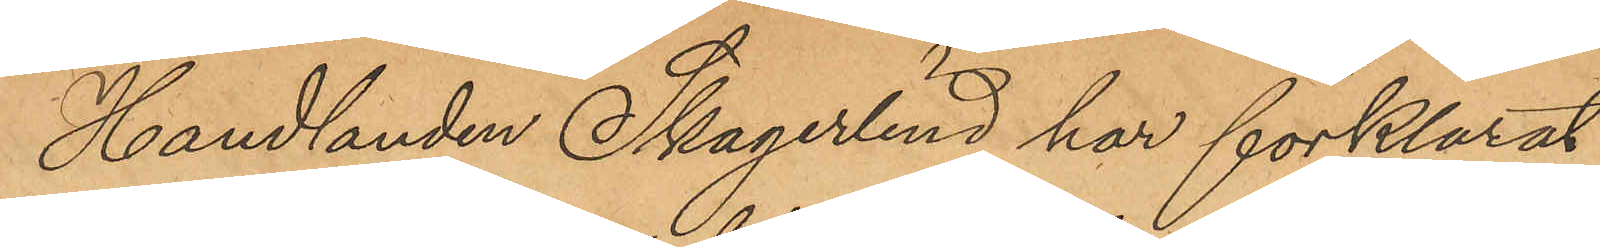Handlanden Skagerlind har förklarat,
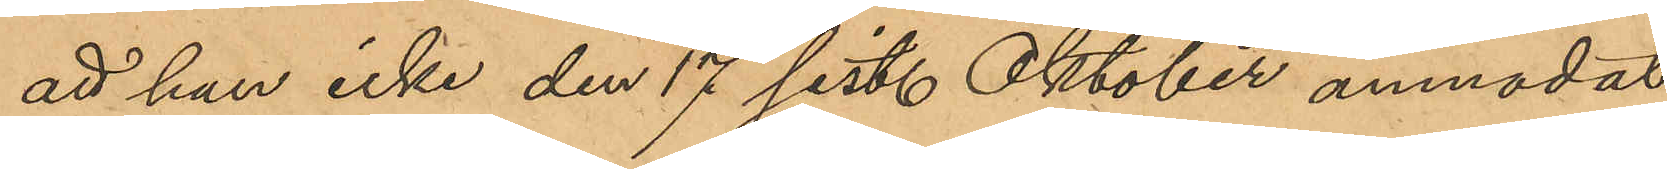att han icke den 17 sist. Oktober anmodat
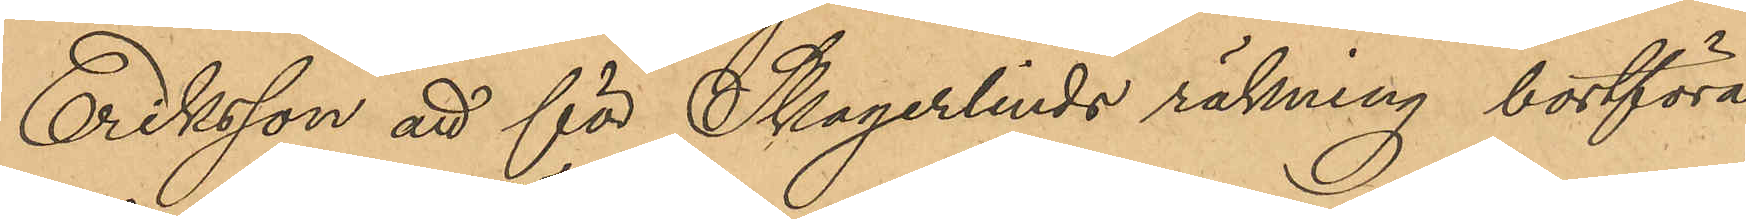Eriksson att för Skagerlinds räkning bortföra
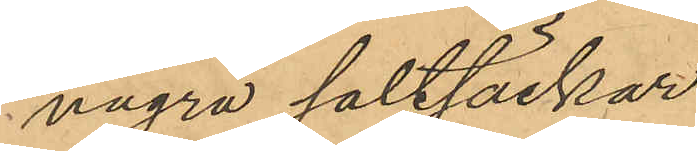några saltsäckar.
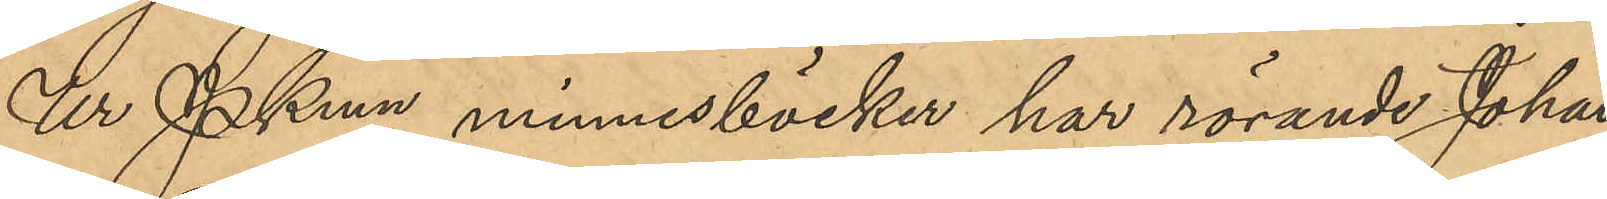Ur Pkmn minnesböcker har rörande Johan
